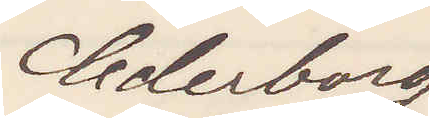Cederborg
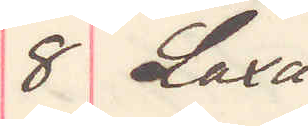8 Laxå
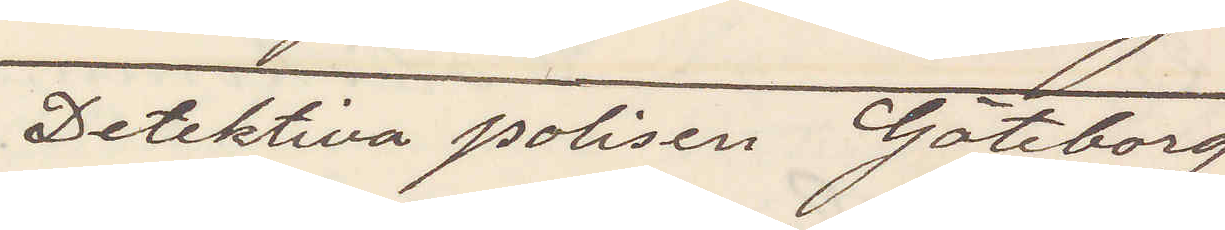Detektiva polisen Göteborg
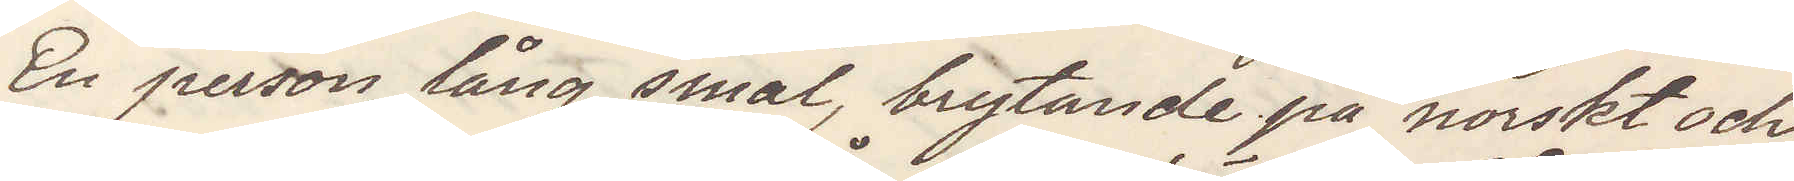En person, lång, smal, brytande på norskt och
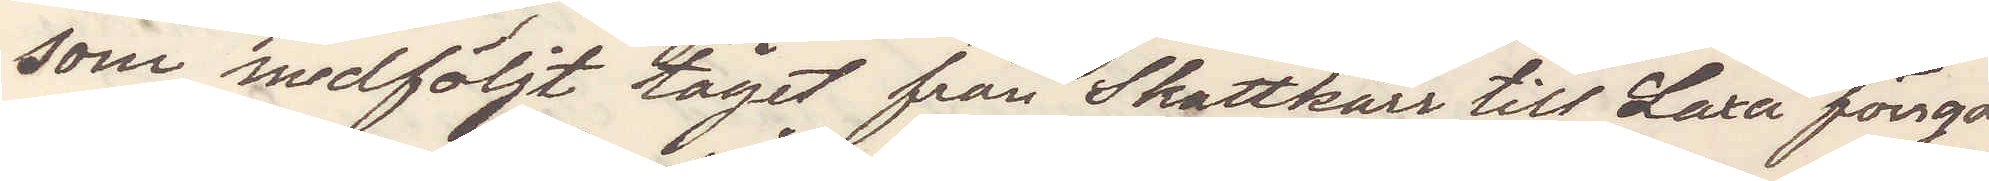som medföljt tåget från Skattkärr till Laxå förrgår
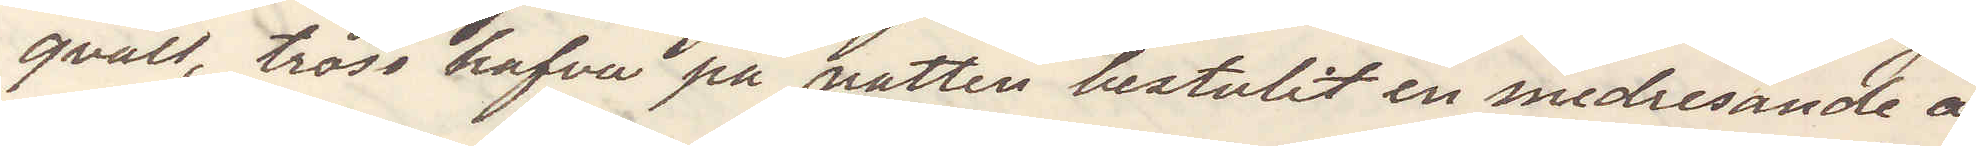qväll, tros hafva på natten bestulit en medresande å
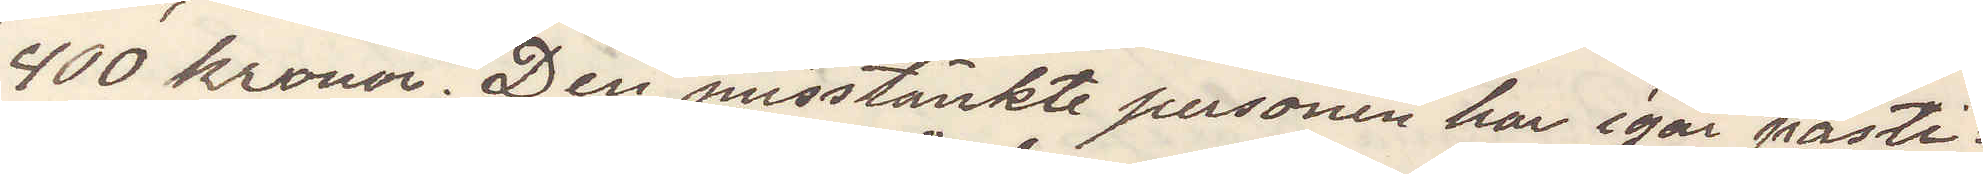400 kronor. Den misstänkte personen har igår påsti¬
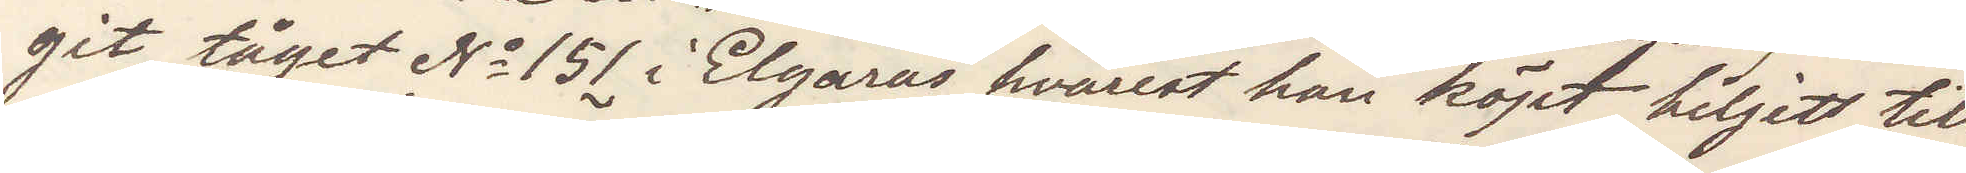git, tåget No 151 i Elgarås hvarest han köpt biljett till
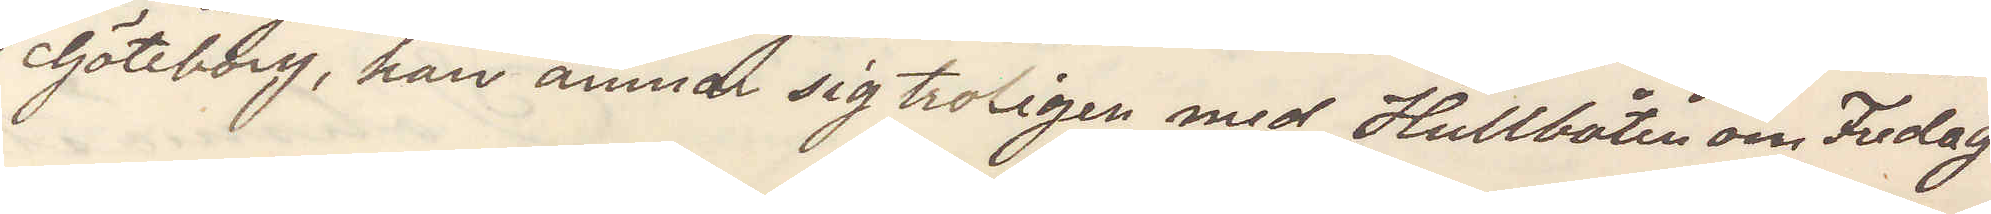Göteborg, han ämnar sig troligen med Hullbåten om Fredag.
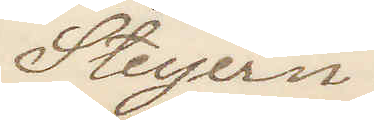Steyern.
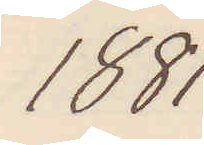1881
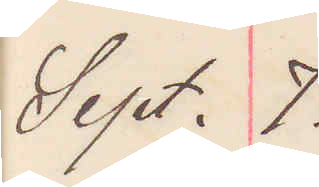Sept. 7.
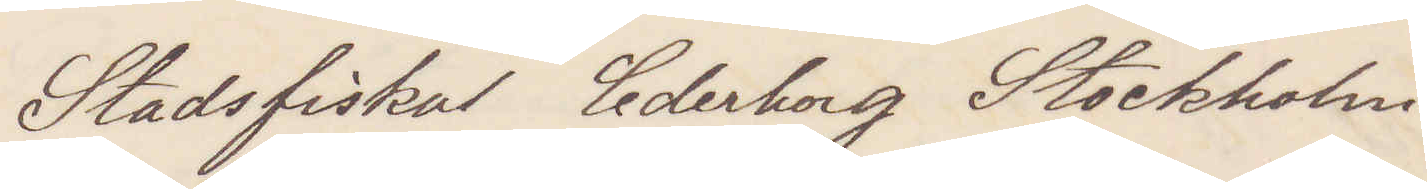Stadsfiskal Cederborg Stockholm
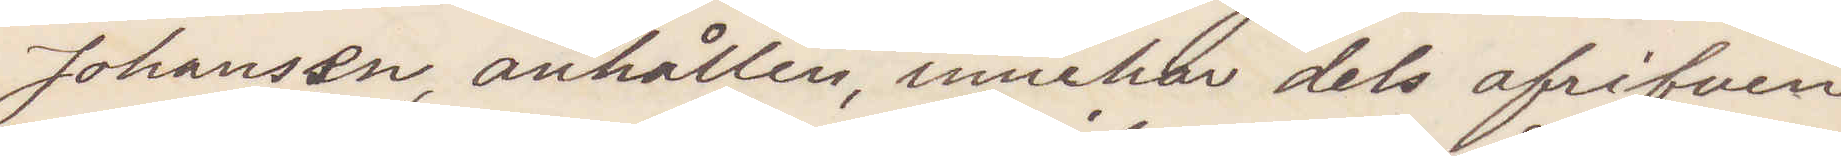Johansen, anhållen, innehar dels afrifven
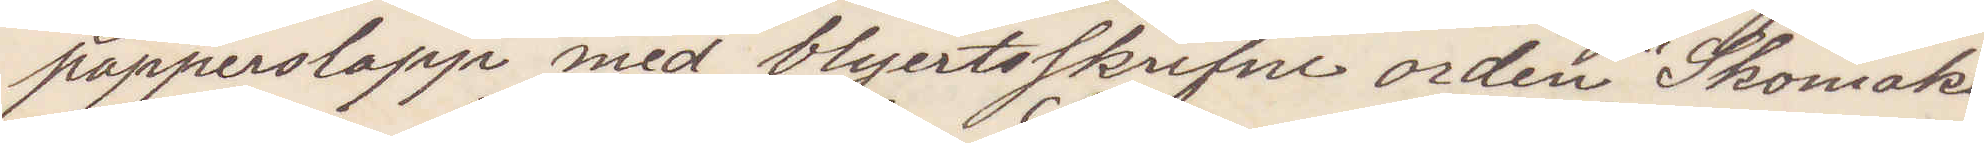papperslapp med blyertsskrifne orden "Skomaka¬
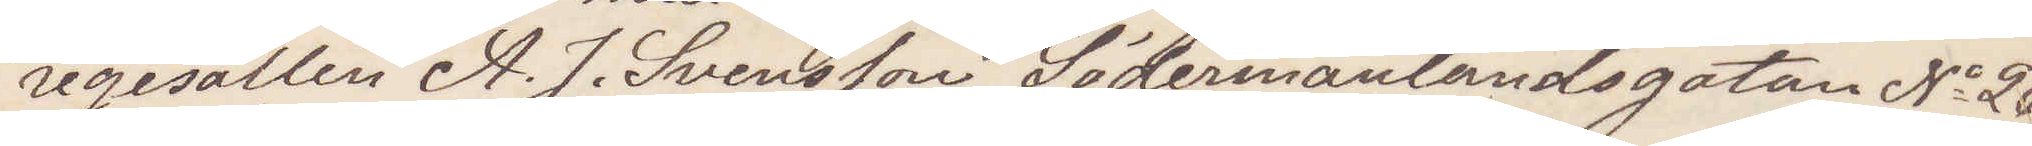regesällen A. J. Svensson Södermanlandsgatan No 20
